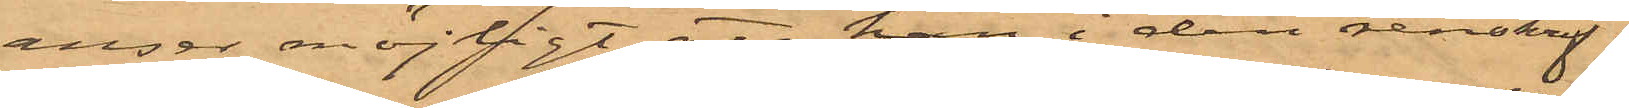anser möjligt att han i den renskrif¬
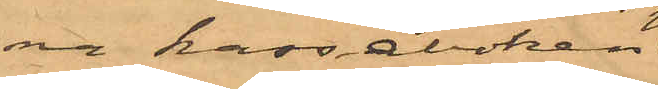na kassaboken
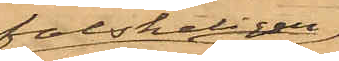falskeligen
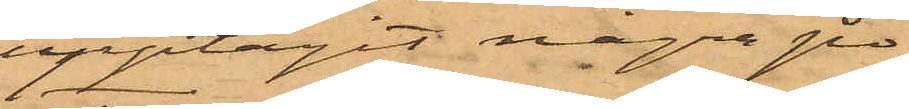upptagit några po¬
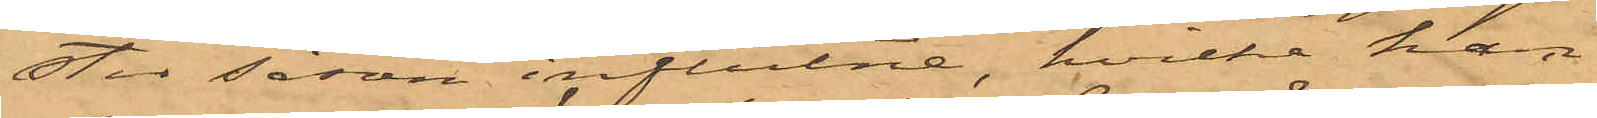ster såsom influtne, hvilka han
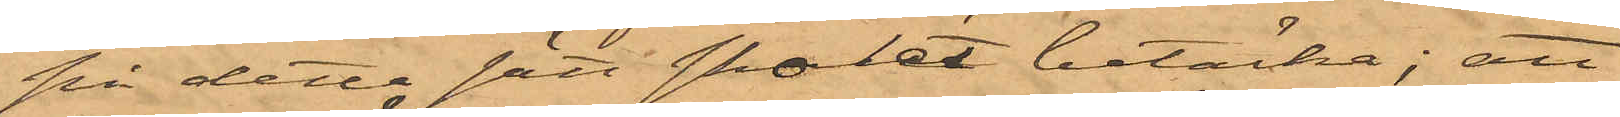på detta sätt skolat betäcka; att
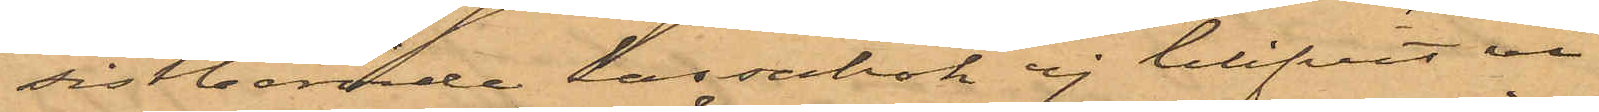sistberörde kassabok ej blifvit vi¬
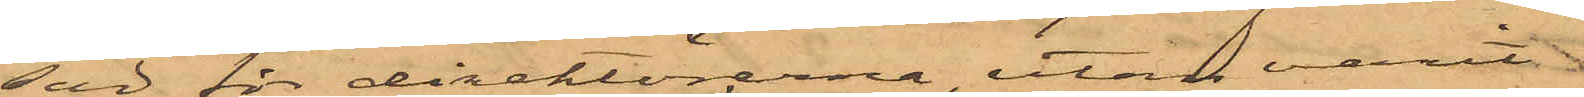sad för direktörerna, utan varit
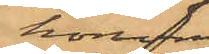honom
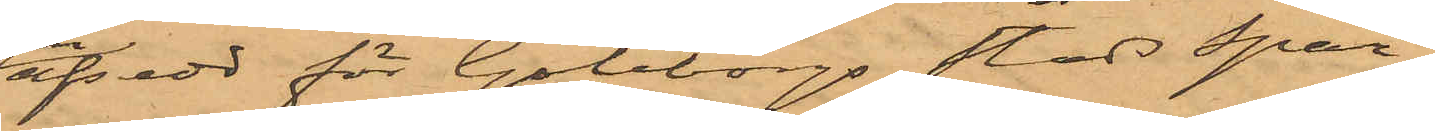afsedd för Göteborgs Stads Spar¬
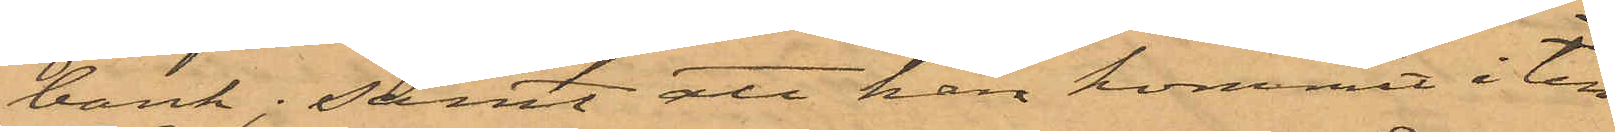bank; samt att han kommit i till¬
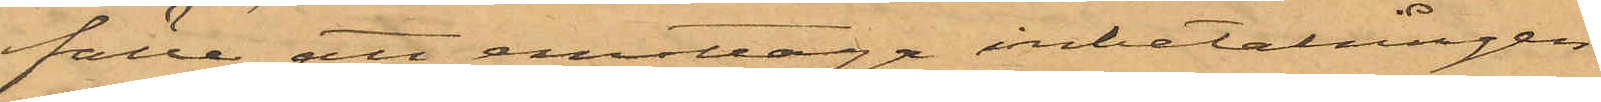fälle att emottaga inbetalningen
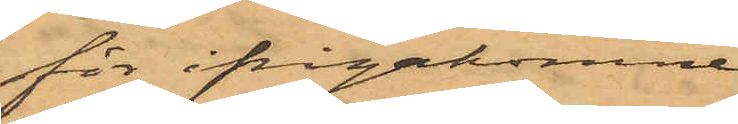för ifrågakomne
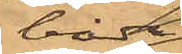båda
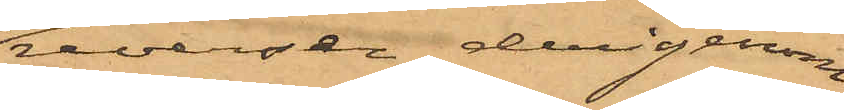reverser derigenom
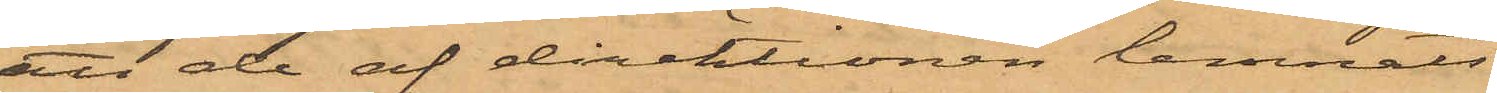att de af direktionen lemnats
